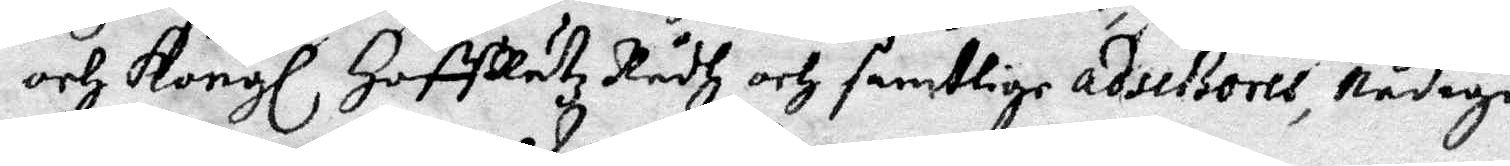och Kongl HoffRätz Rådh och samtlige adseßores, Nådige
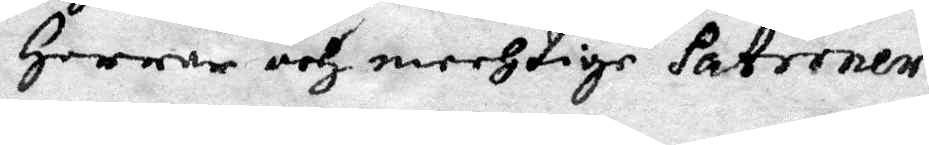Herrar och mechtige Patroner.
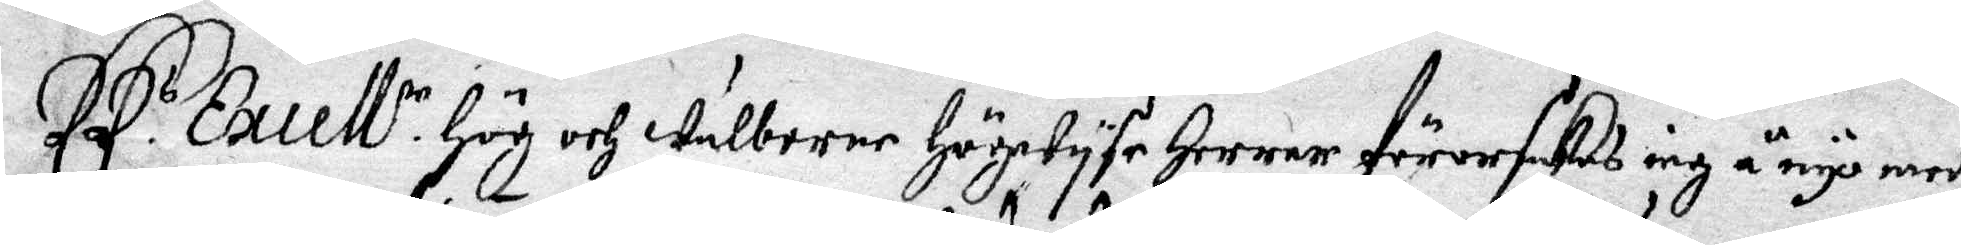Ed.s Excell.r Hög och wälborne Högwyse Herrar förorsakas iagh å nyo medh
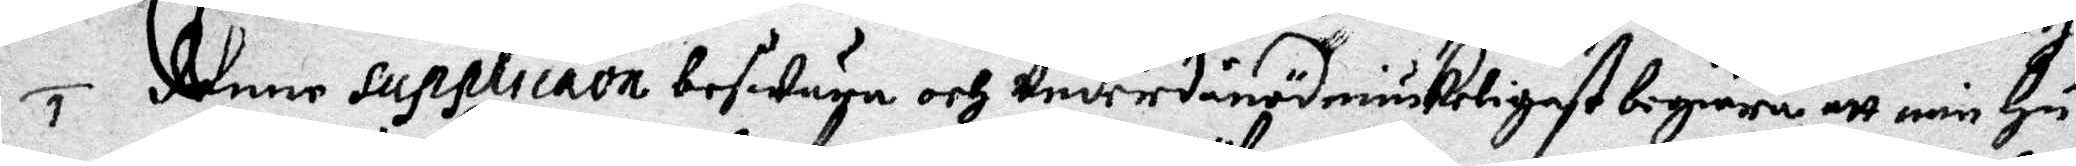denne supplicaon beswära och Underdånödmiukeligest begiära att min Hu¬
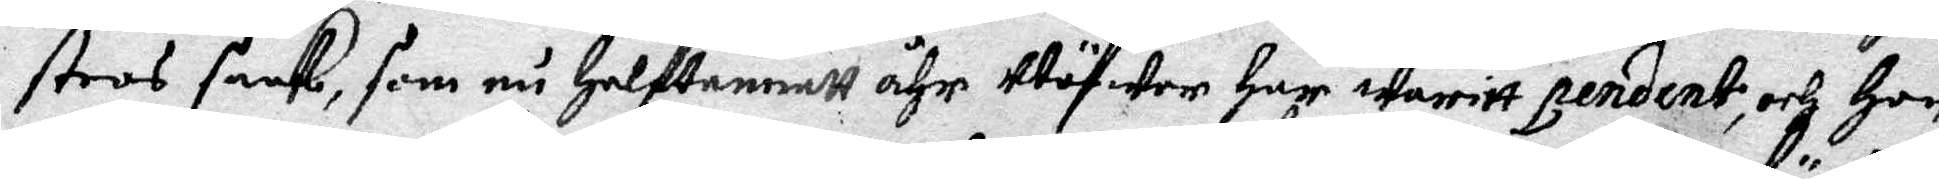stros saak, som nu Halftannatt åhr Uthöwer har warit pendent, och Hon
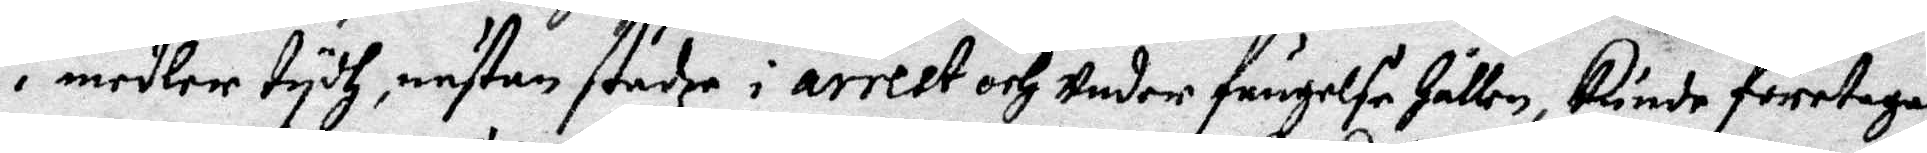i meler tydh, nästan städze i arrest och Under fängelse Hållen, Kunde företagas
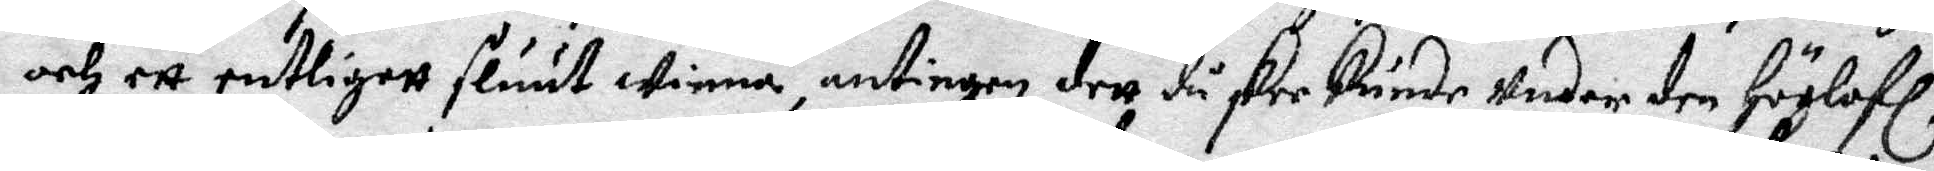och ett entligett sluut Winna, antingen dett då skee kunde Under den Höglofl.
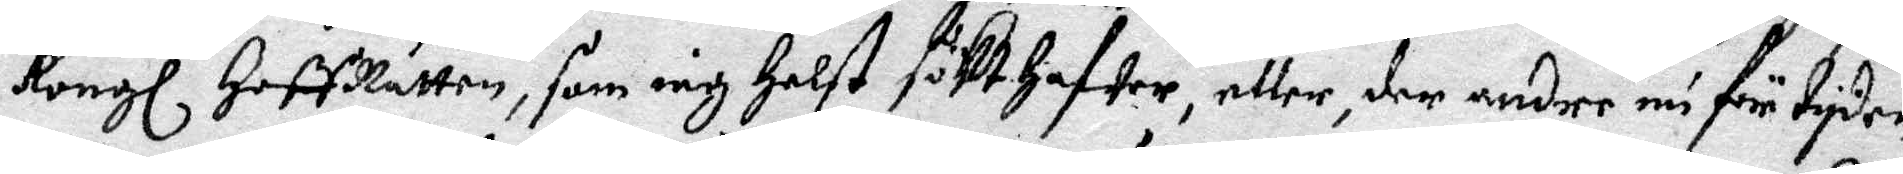Kongl HoffRätten, som iag Helst sökt hafwer, eller, der andre nu för tyden
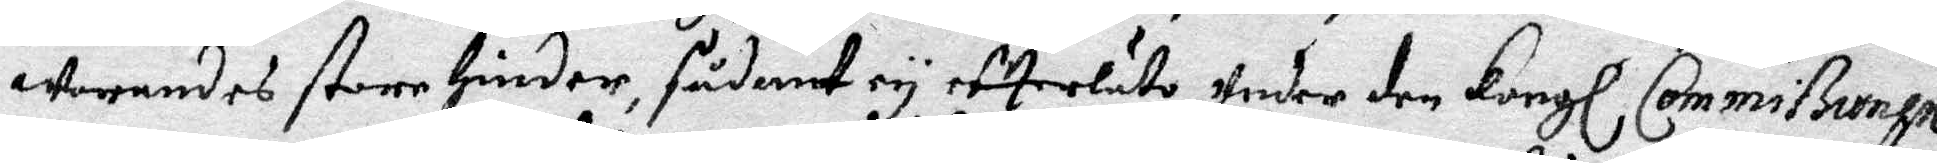Worandes store Hinder, sådnat ey efterläto, Under den Kongl Commißionen
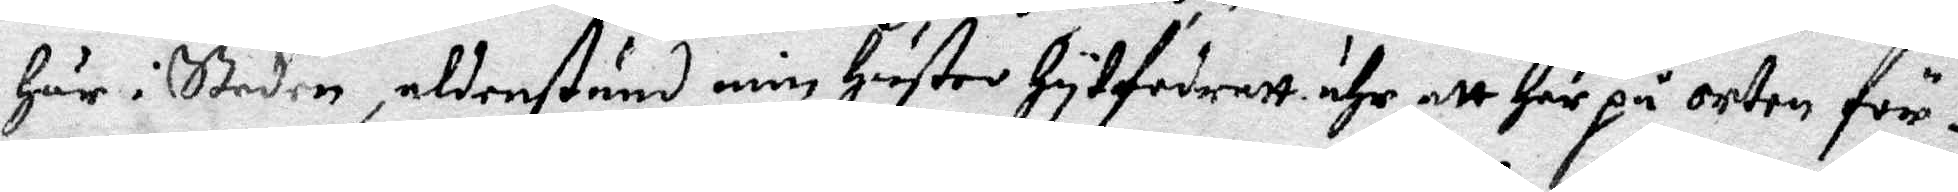Här i Staden, aldenstund min Hustru Hytfordratt ähr att Här på orten för¬
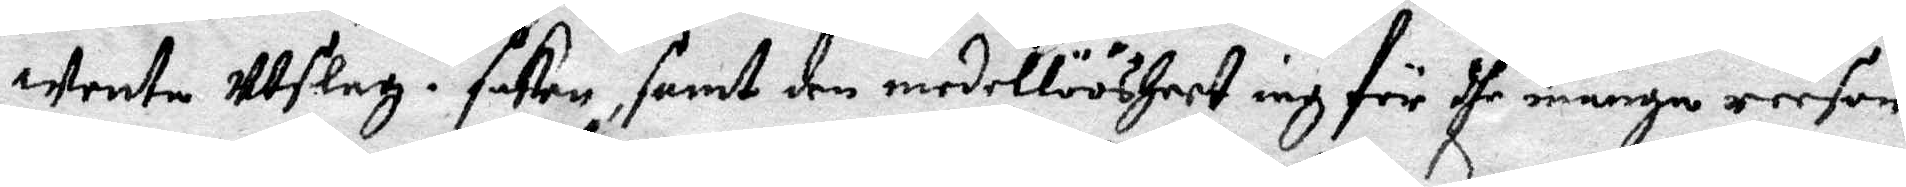Wenta Utslag i saken, samt den medellöösheet iag för dhe många reesor
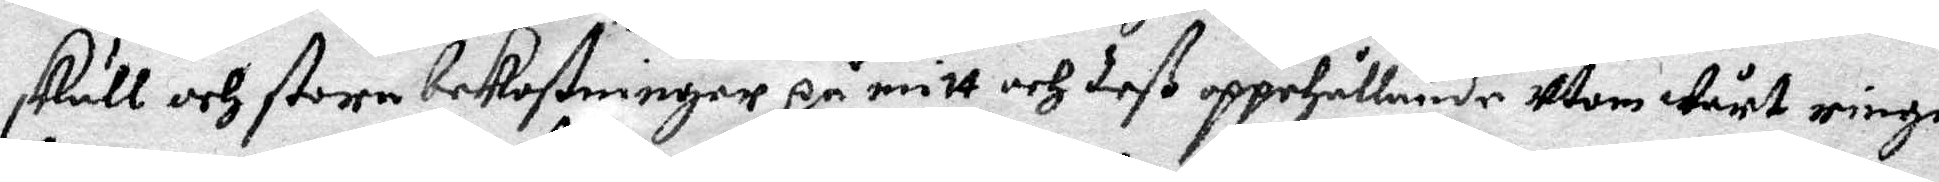skull och stora bekostninger på mitt och deß upphållande Utom Wårt ringa
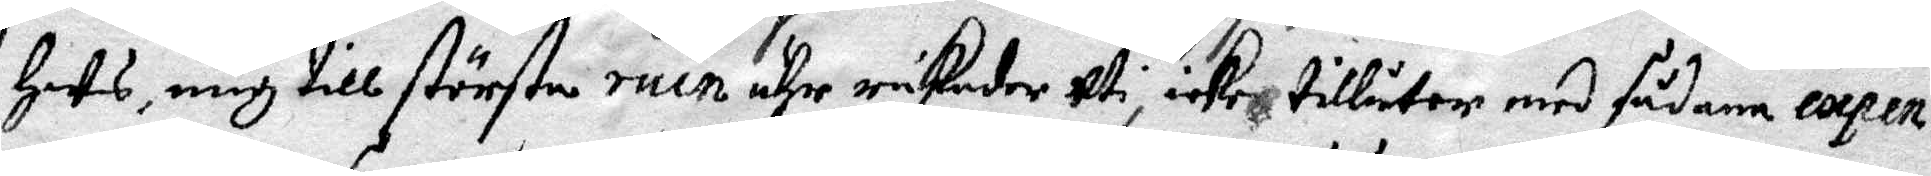Hus, mig till största ruin ähr råkader Uti, icke tillåter med sådane expen¬
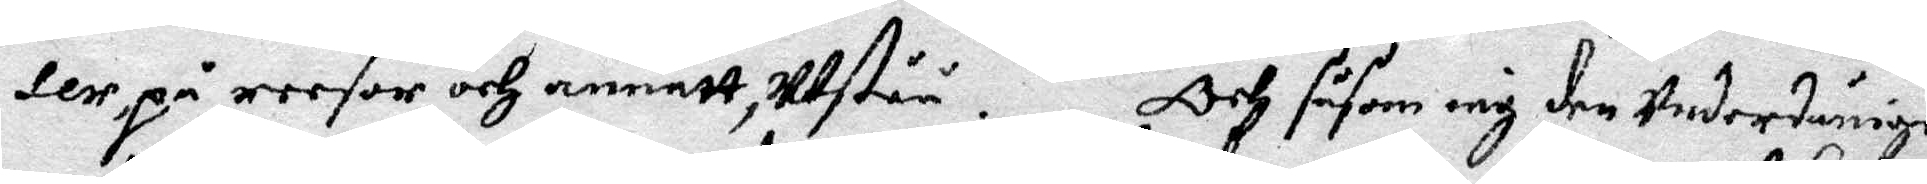ser, på reesor och annatt utstå. Och såsom iag den Underdåninge
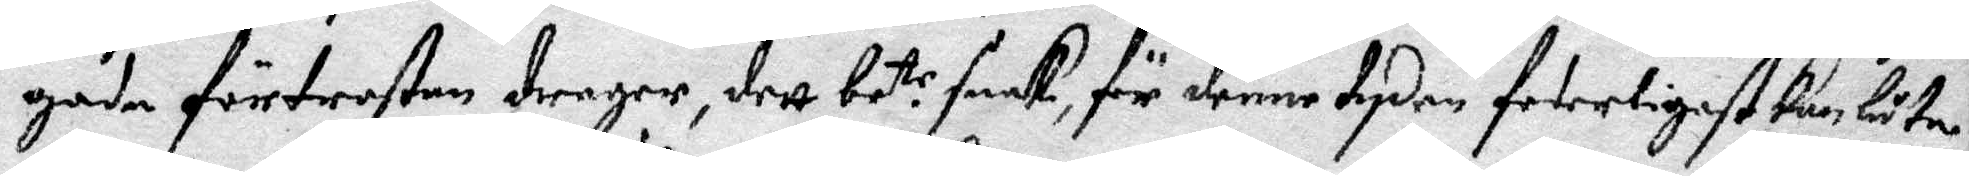goda förtröstan drager, dett be.tr saak, för denne tyden feterligast kan, låta
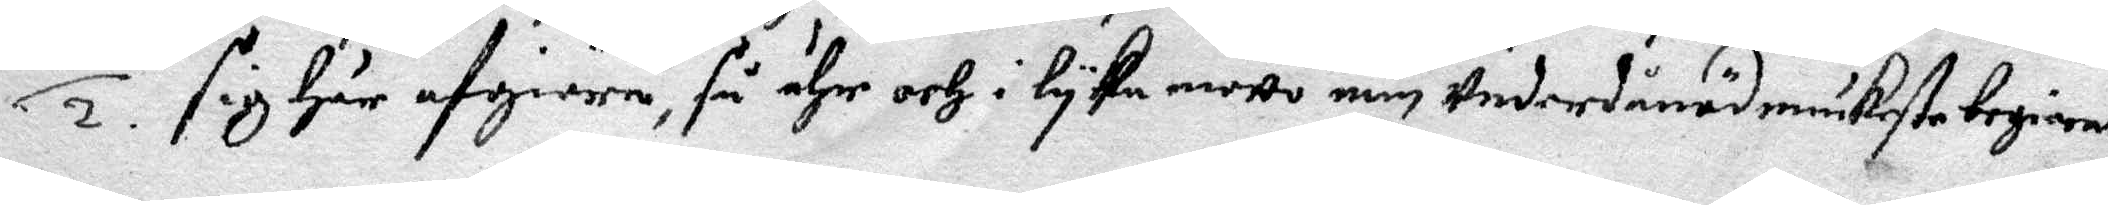sig Här afgiöra, så ähr och i lyka motto min Underdånödmiukaste begieran
